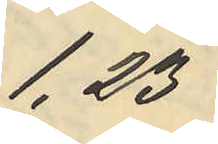1,23
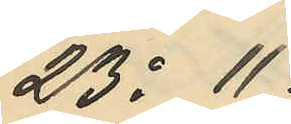23o 11
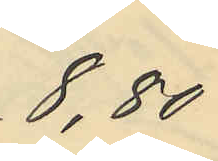8,80
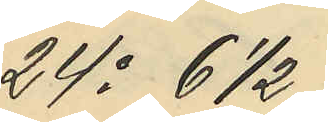24o 6 1/2
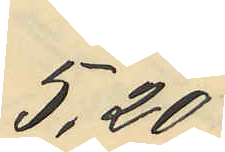5,20
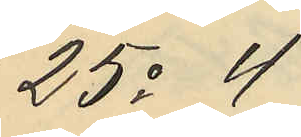25o 4
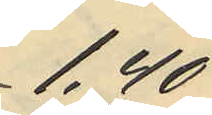1,40
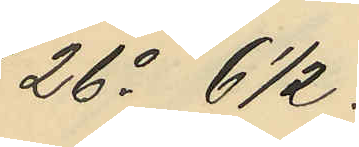26o 6 1/2
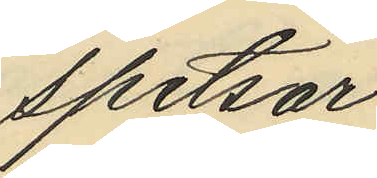spetsar
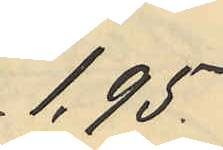1,95
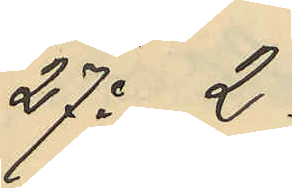27o 2.
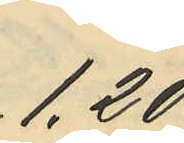1,20
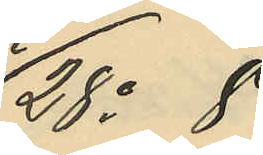28o 8
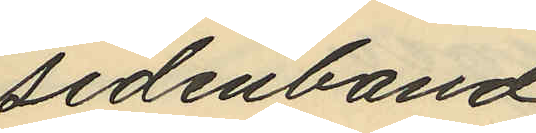sidenband
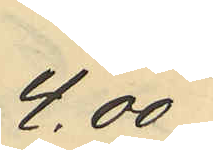4,.00
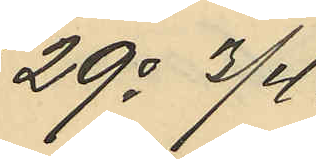29o 3/4
